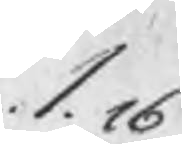1.16
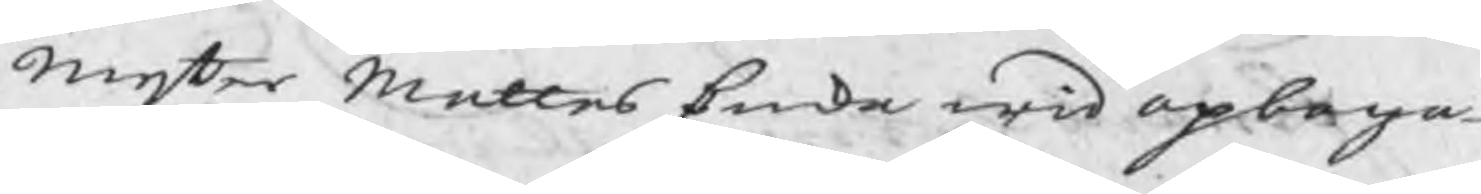Mester Mattes Enka wid opboga
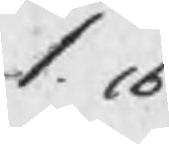1.16
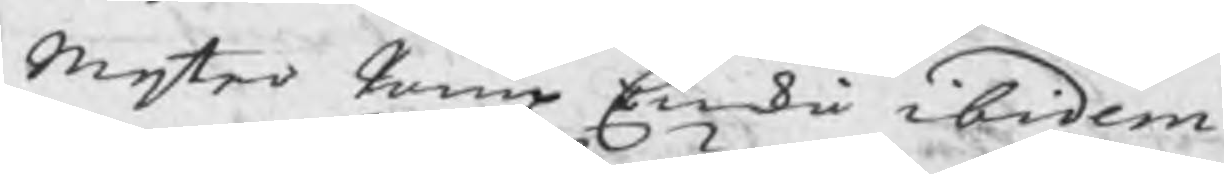Mester Pamp Enka ibidem
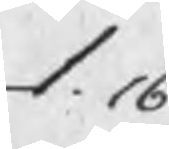1.16
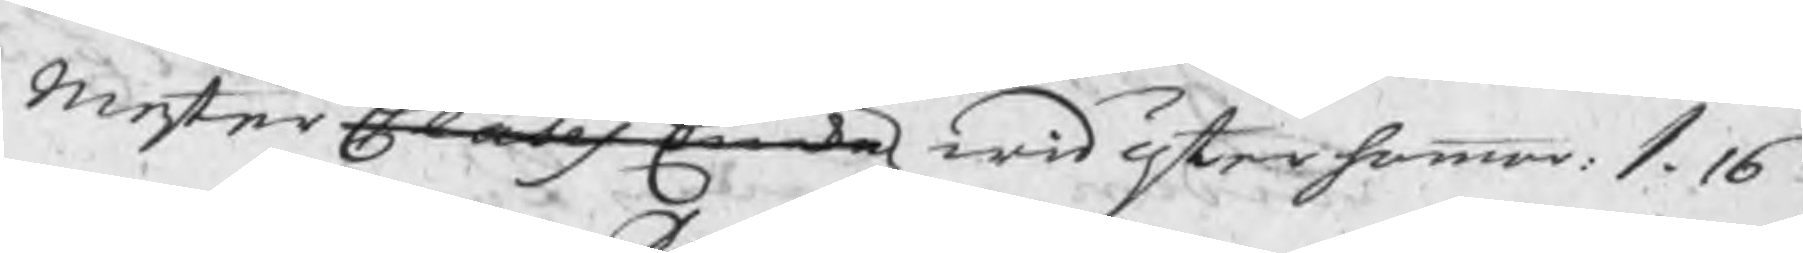Mester Clases Enka wid Österhammar: 1.16
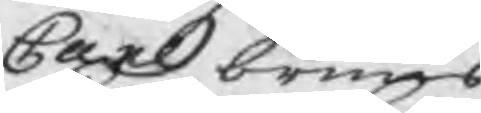Carl bruns
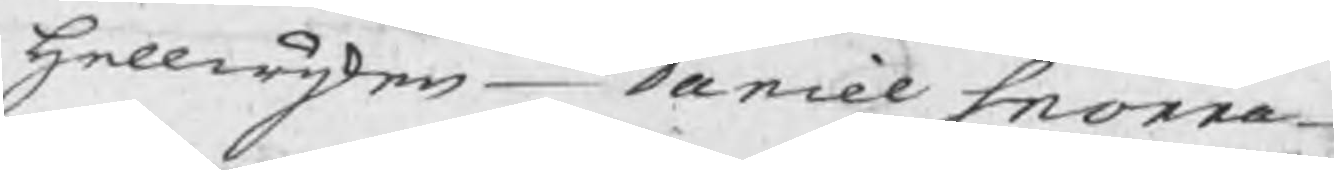Hellwijken Daniel Snorre
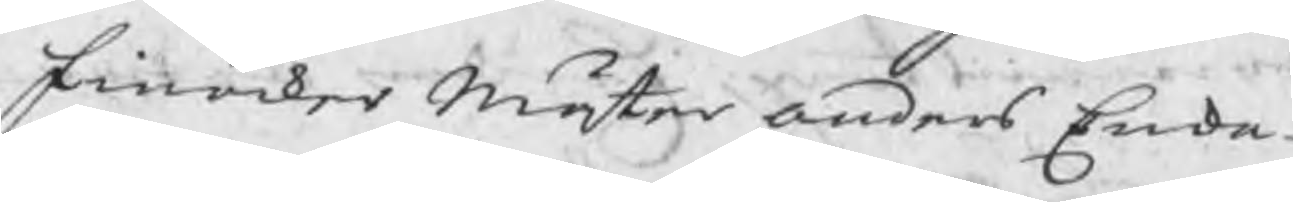Finoker Mäster Anders Enka
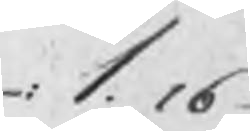1.16
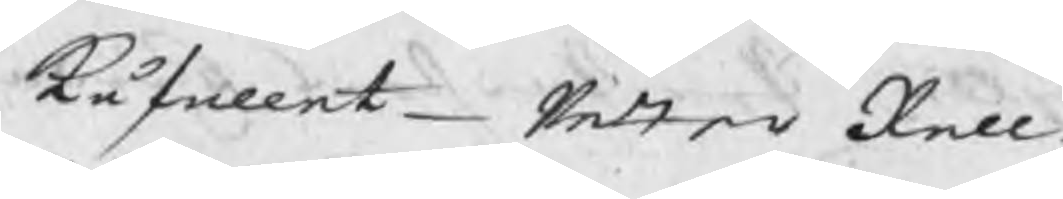Kåfallet Petter Rell
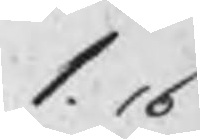1.16
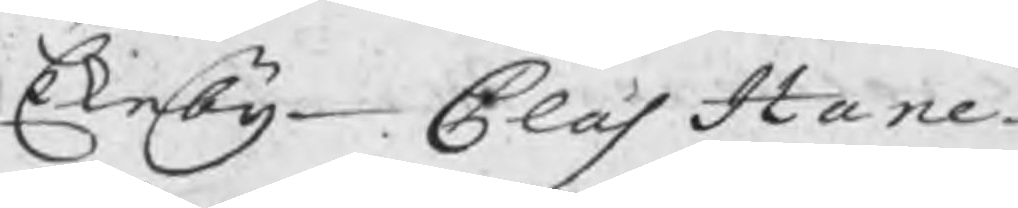Ekeby Clas Hane
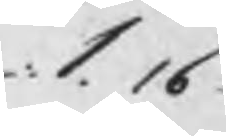1. 16
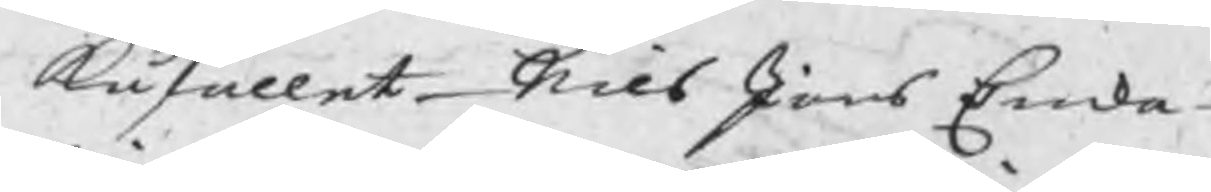Kåfallet Nils Jons Enka
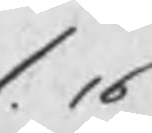1. 16
